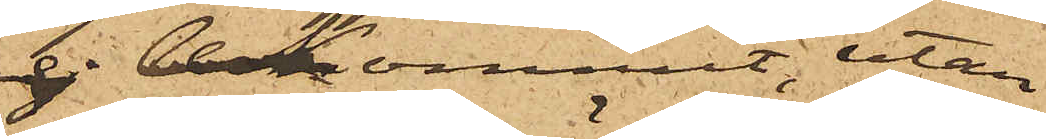ej bekommit, utan
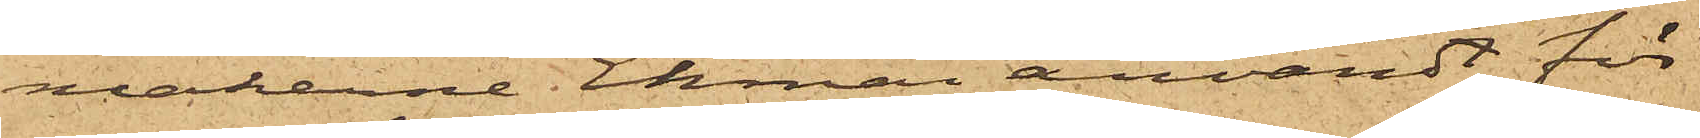makarne Ekman användt för
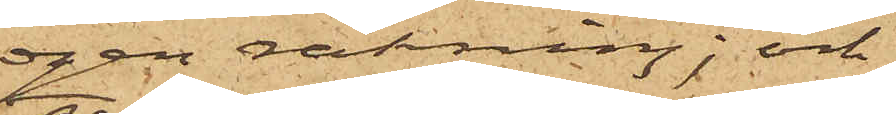egen räkning; och
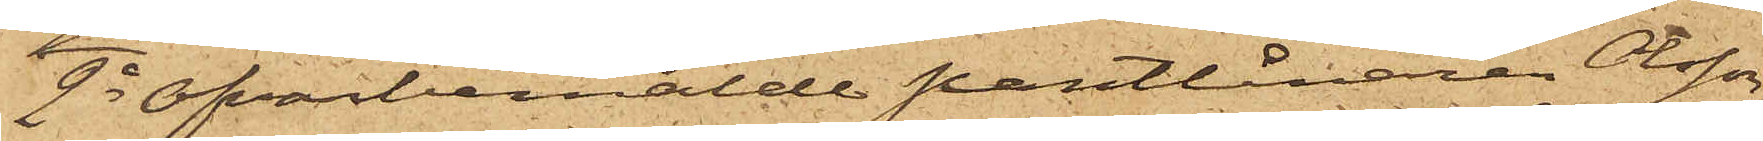2o Ofvanbemälde pantlånaren Olsson,
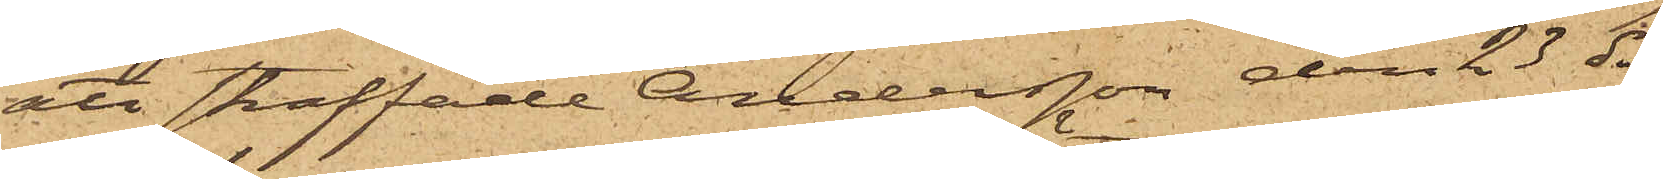att straffade Andersson den 23 ds
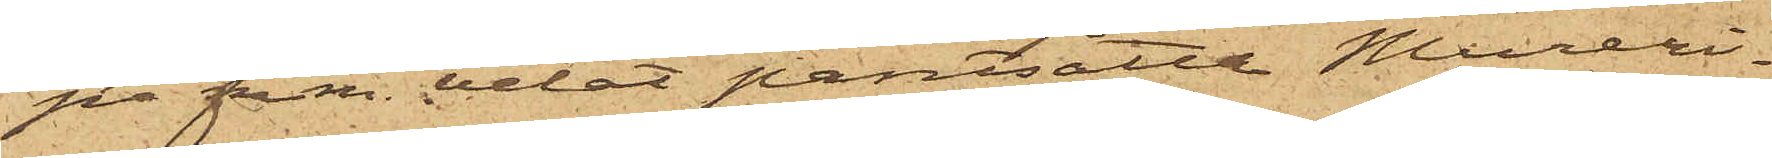på f m. velat pantsätta Mureri¬
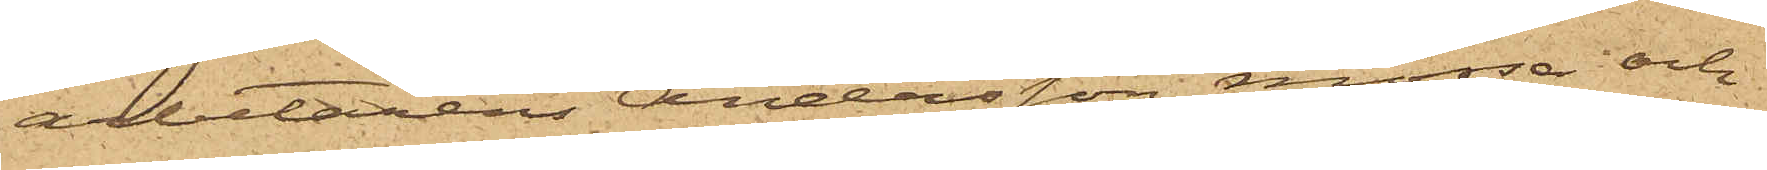arbetarens Andersson mössa och
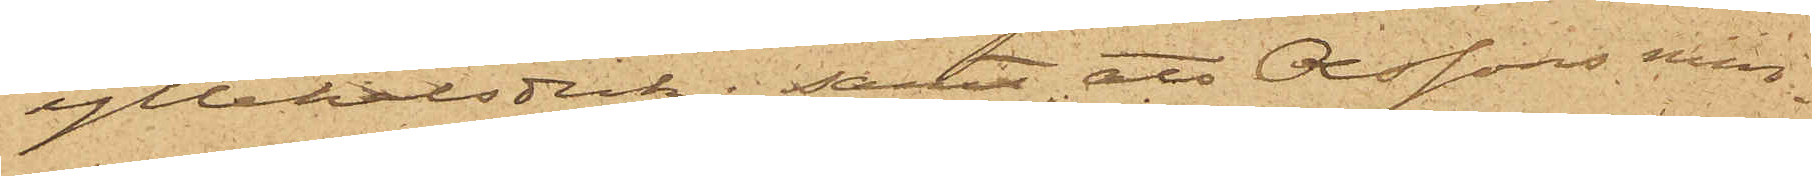yllehalsduk; samt att Olssons min¬
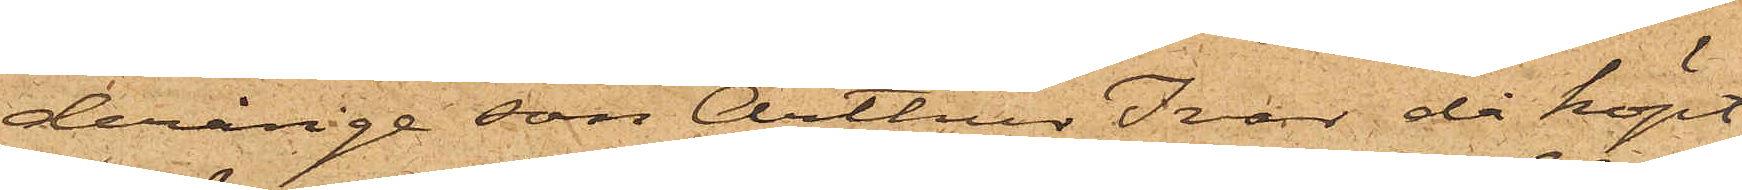derårige son Arthur Ivar då köpt
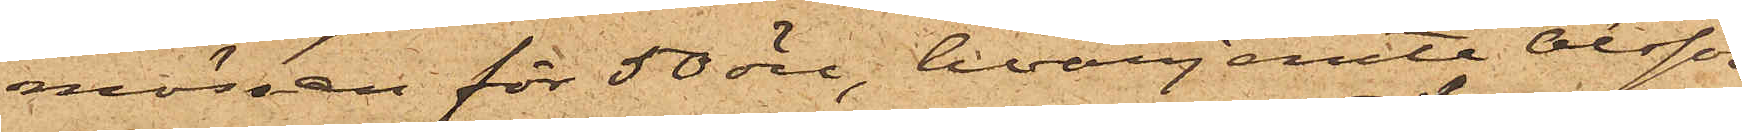mössan för 50 öre, hvarjemte Olsson
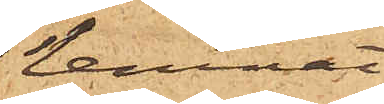lemnat
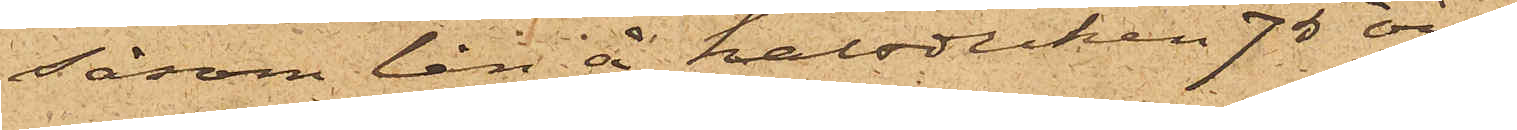såsom lån å halsduken 75 öre.
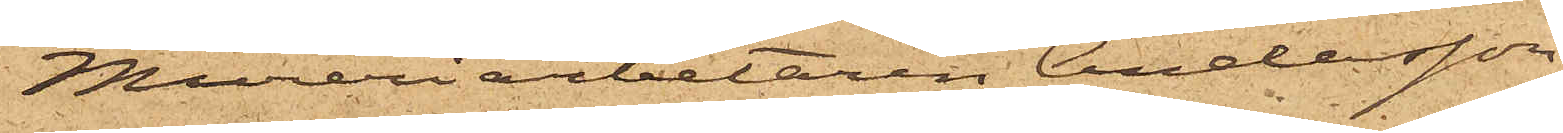Mureriarbetaren Andersson
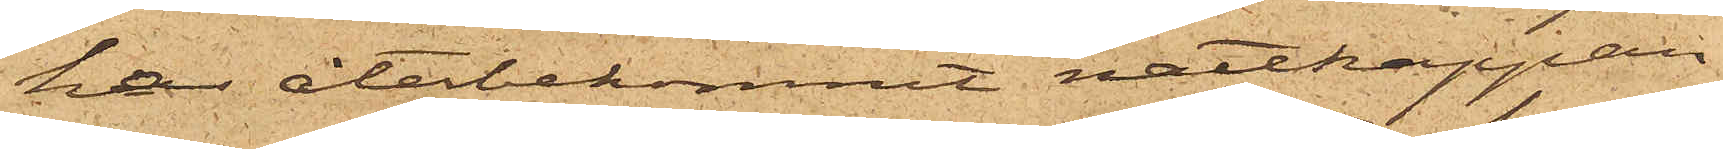har återbekommit nattkappan
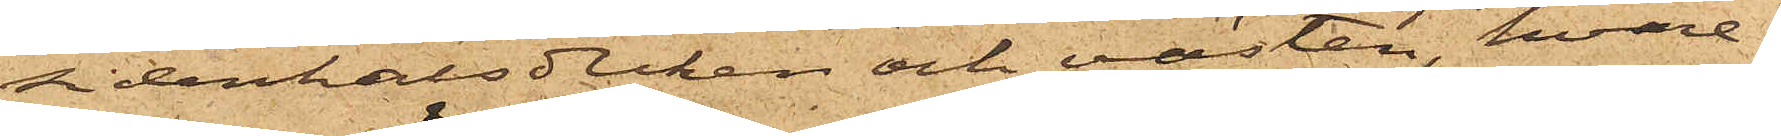sidenhalsduken och västen hvare¬
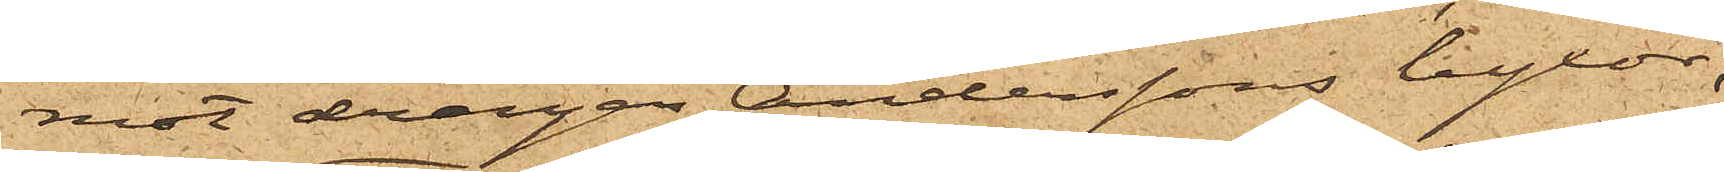mot drängen Anderssons byxor,
